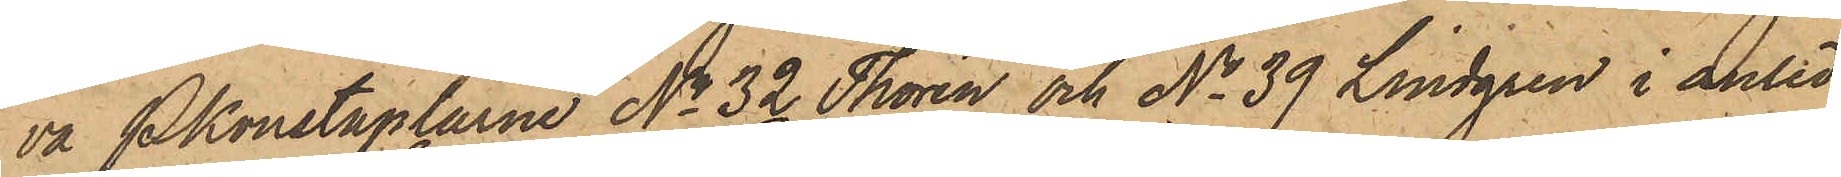va Pkonstaplarne No 32 Thorén och No 39 Lindgren i anled¬
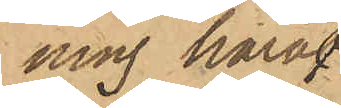ning häraf
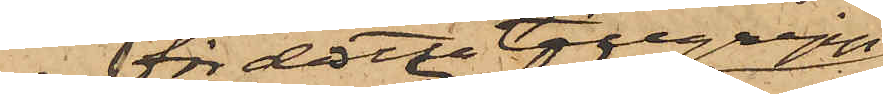för detta tillgrepp
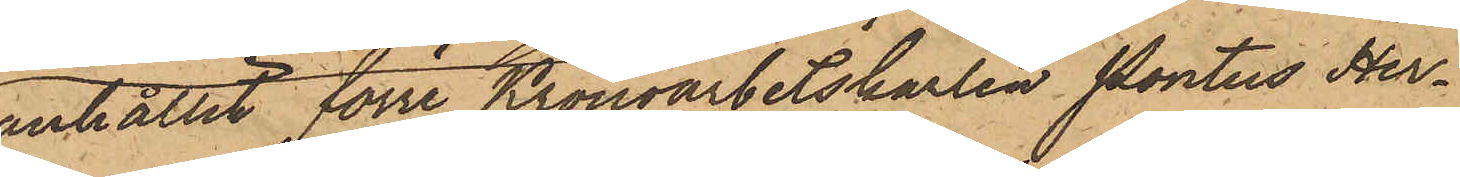anhållit förre Kronoarbetskarlen Pontus Her¬
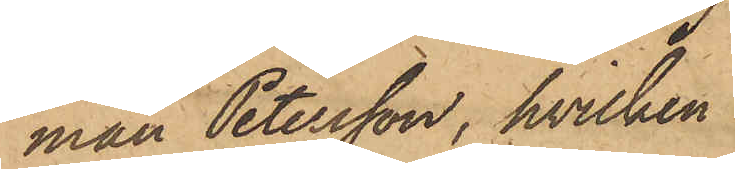man Petersson, hvilken
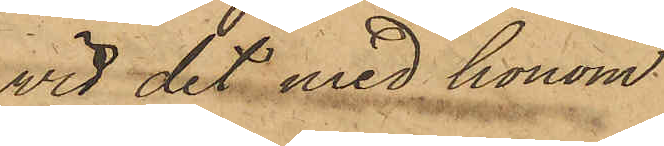wid det med honom
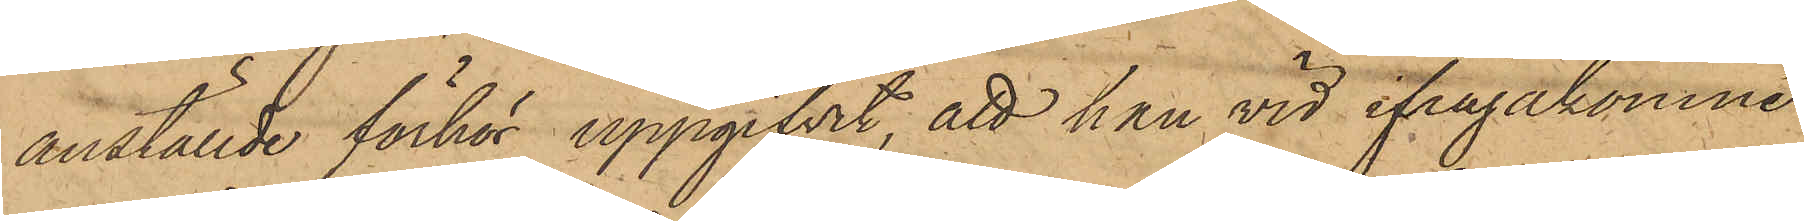anställde förhör uppgifvit, att han vid ifrågakomne
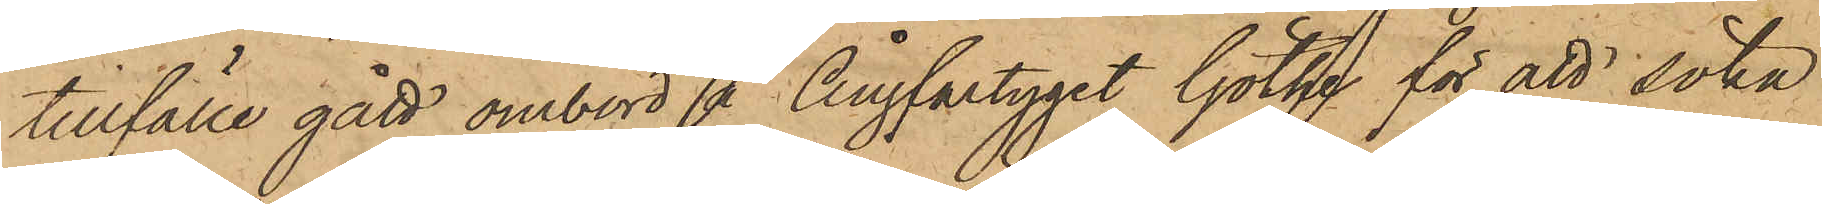tillfälle gått ombord å ångfartyget Göthe för att söka
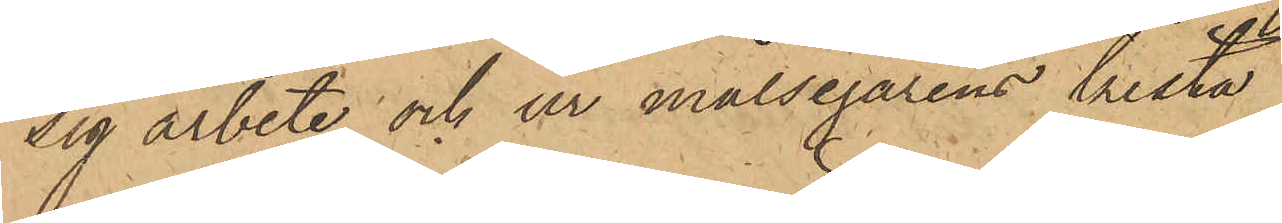sig arbete och ur målsegarens kista
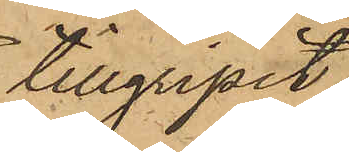tillgripit
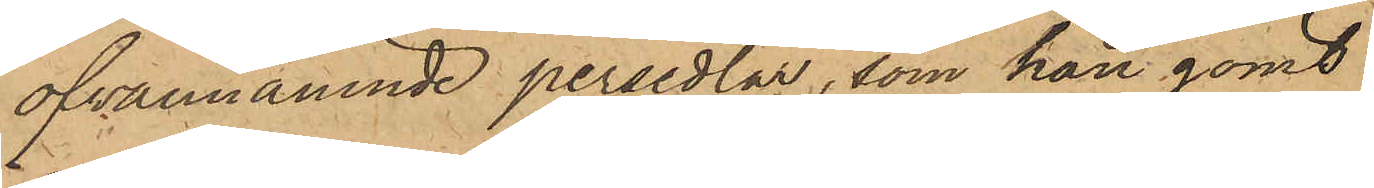ofvannämnde persedlar, som han gömt
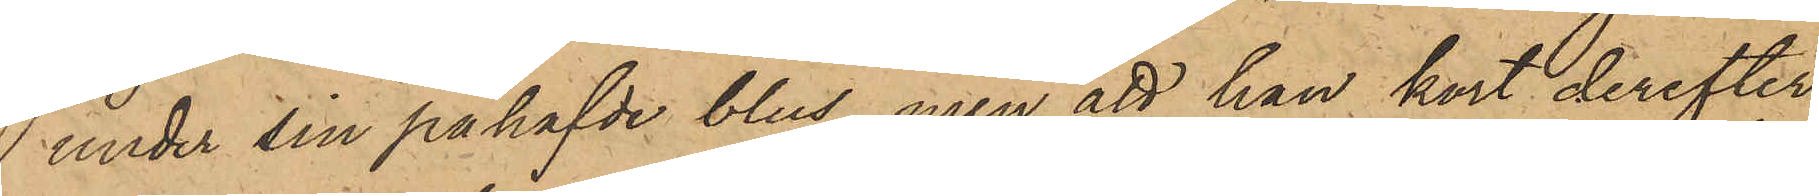 under sin påhafvde blus, men att han kort derefter
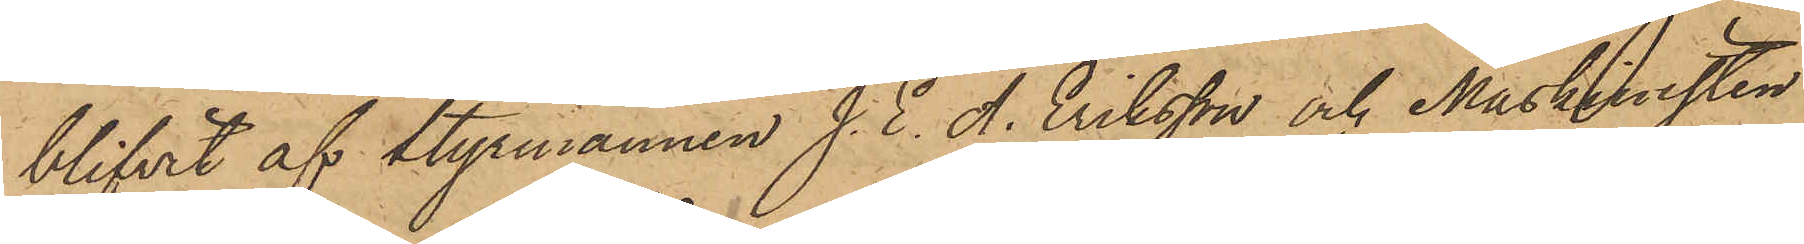blifvit af Styrmannen J. E. A. Eriksson och Maskinisten
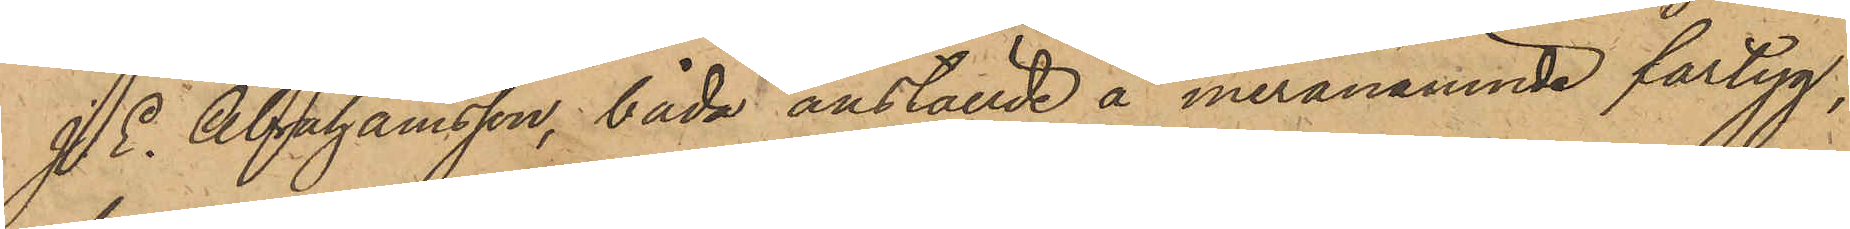J. E. Abrahamsson, båda anställde å meranämnde fartyg,
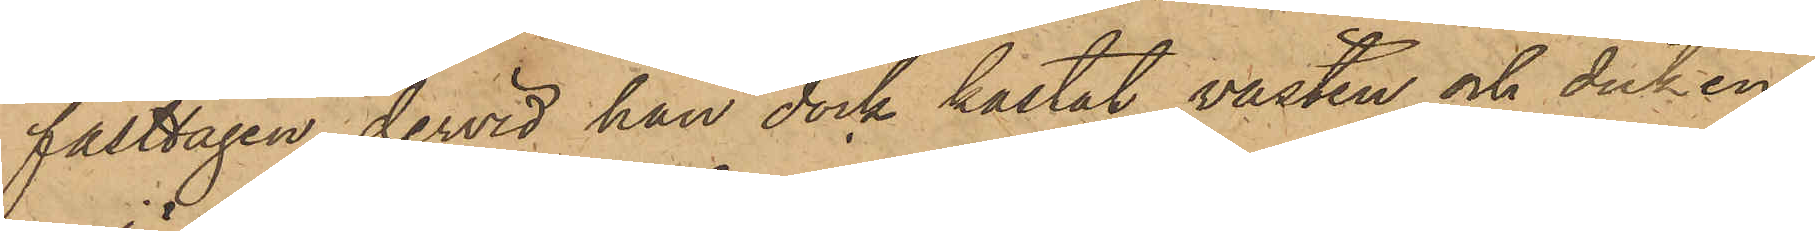fasttagen, dervid han dock kastat västen och duken
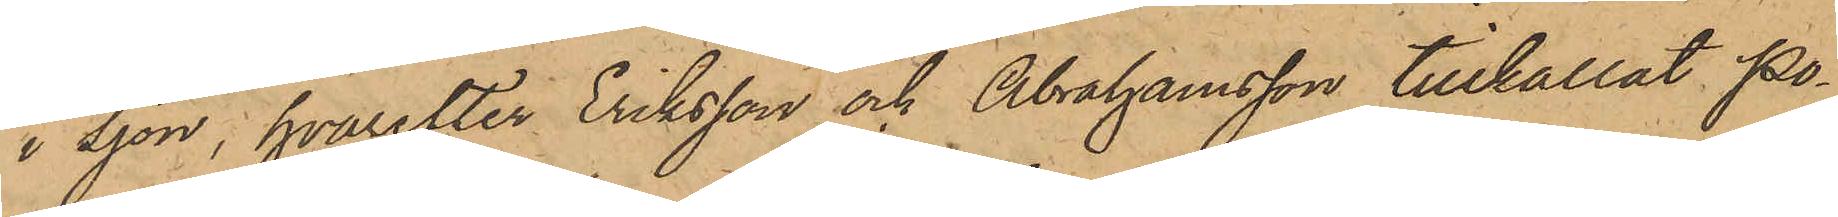i sjön, hvarefter Eriksson och Abrahamsson tillkallat Po¬
